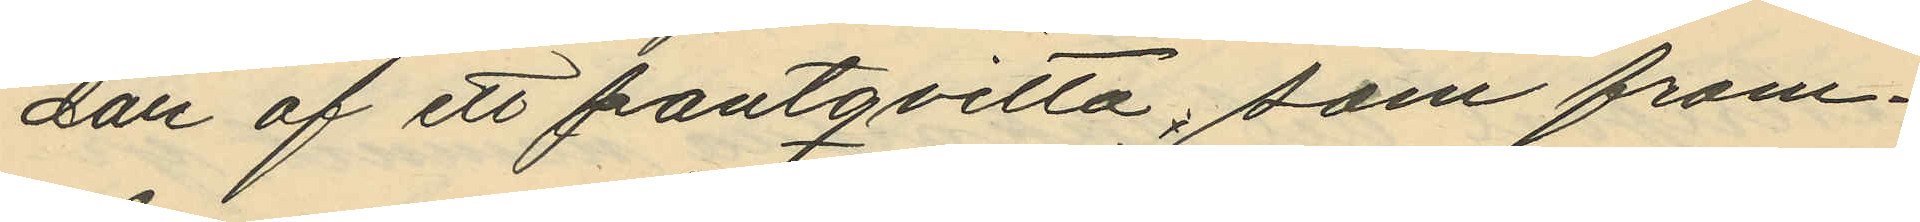dan af ett pantqvitto, som fram¬
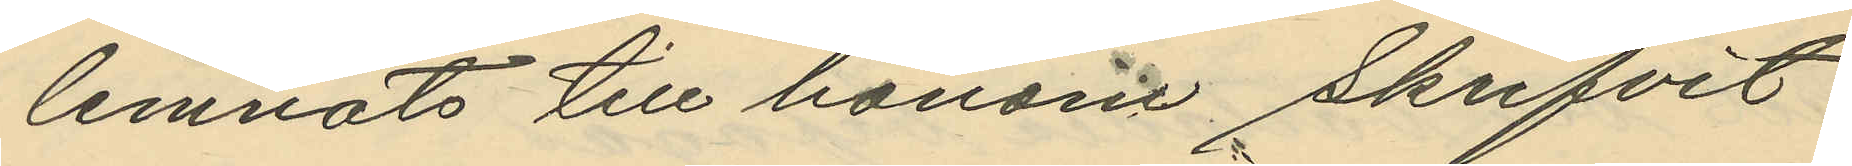lemnats till honom skrifvit
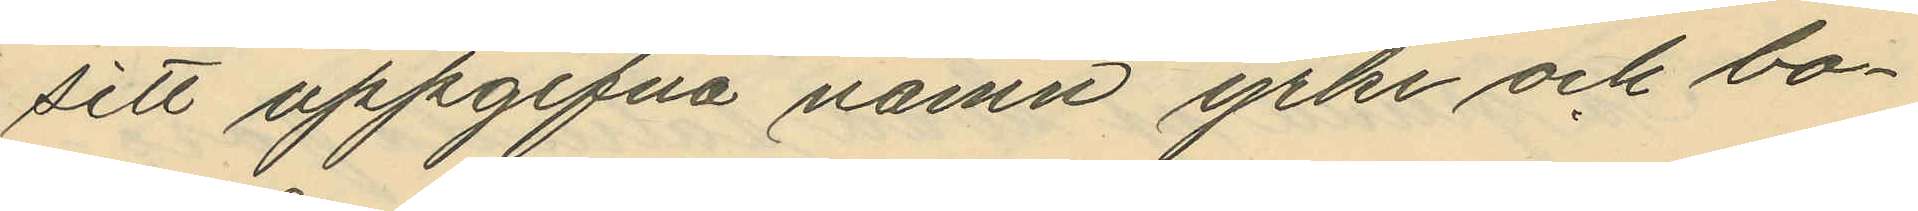sitt uppgifna namn yrke och bo¬
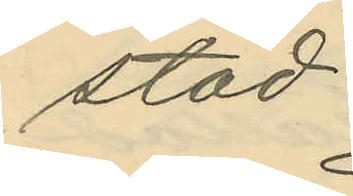stad.
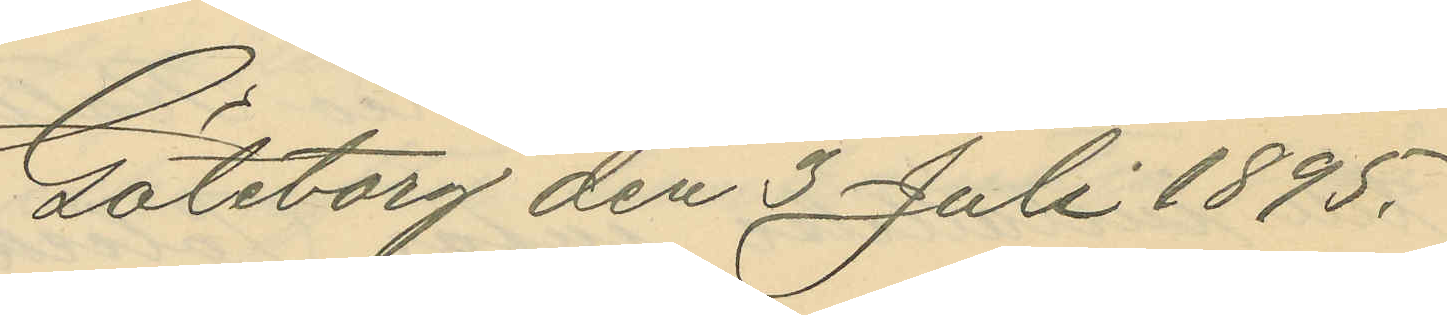Göteborg den 2 Juli 1895.
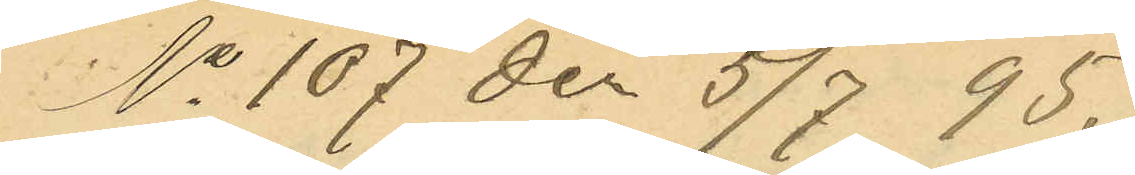No 107 der 5/7 95.
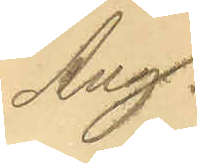Aug.
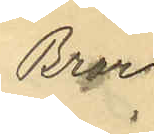Bror
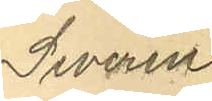Severin
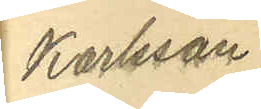Karlsson
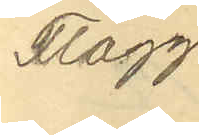Flagg
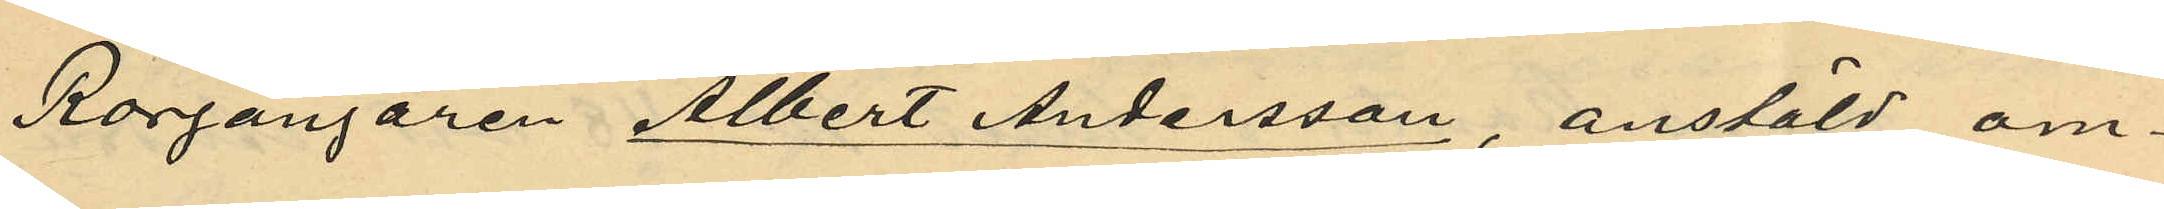Rorgängaren Albert Andersson, anstäld om¬
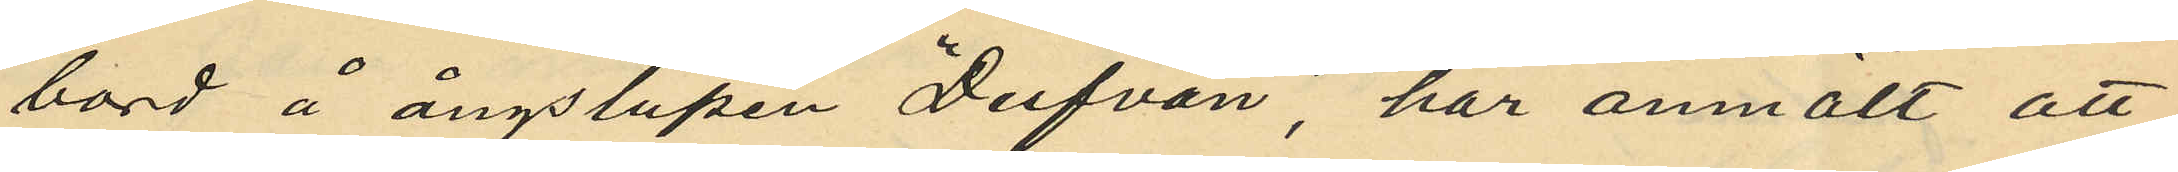bord å ångslupen "Dufvan", har anmält att
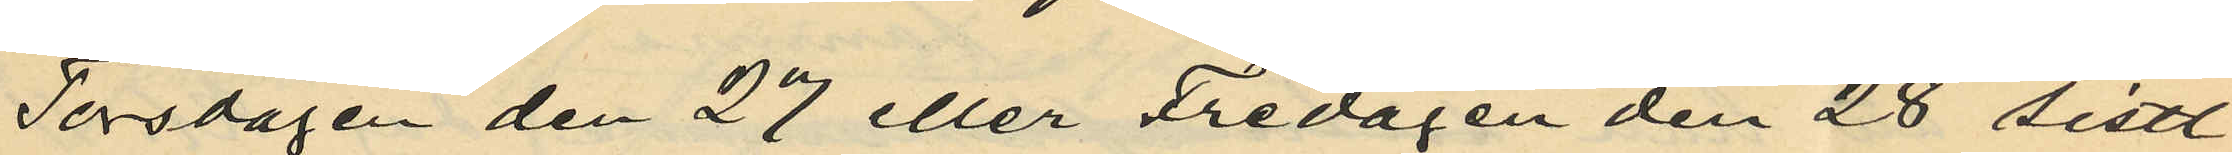Torsdagen den 27 eller Fredagen den 28 sistl.
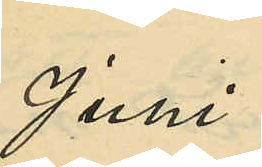Juni
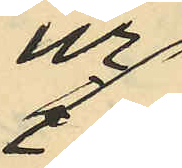ur
